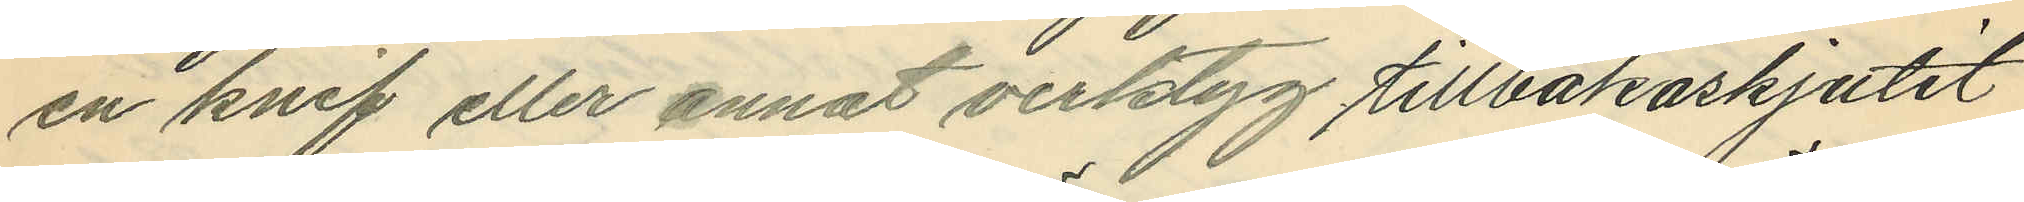en knif eller annat verktyg tillbakaskjutit
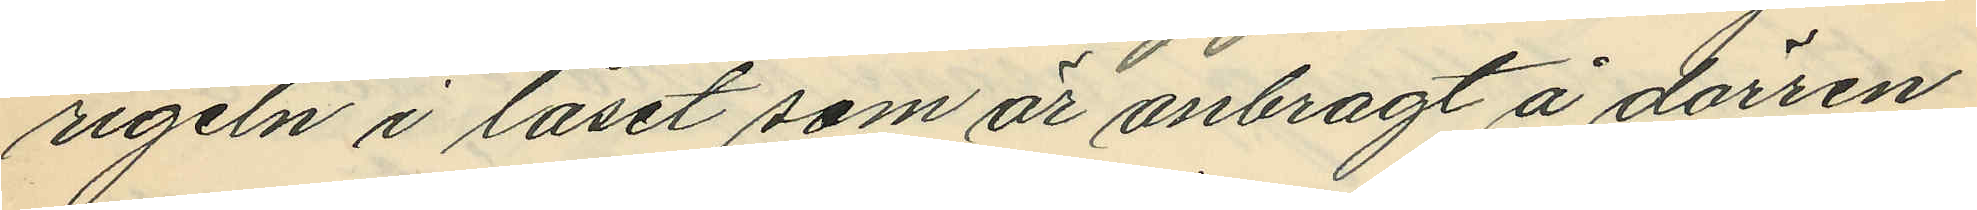rigeln i låset som år anbragt å dörren
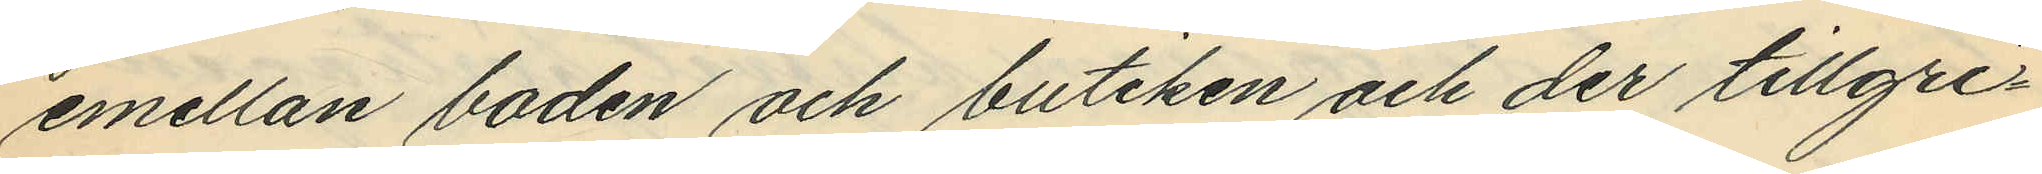emellan boden och butiken och der tillgri¬
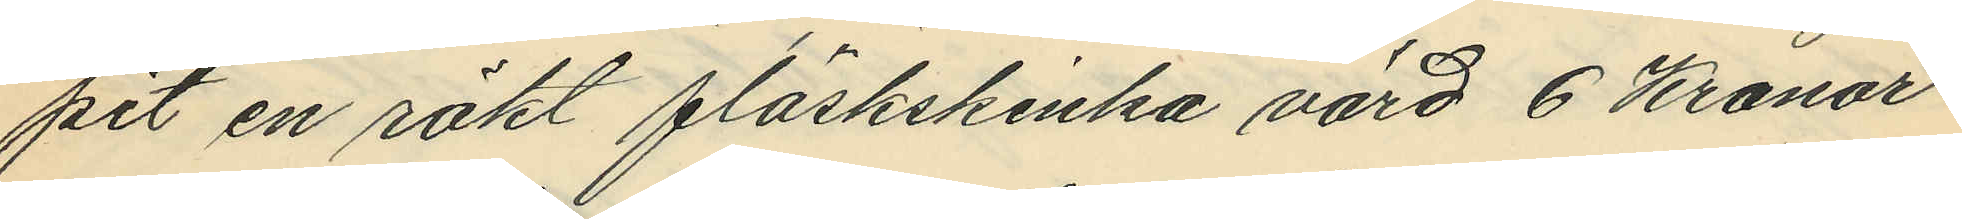pit en rökt fläskskinka värd 6 Kronor
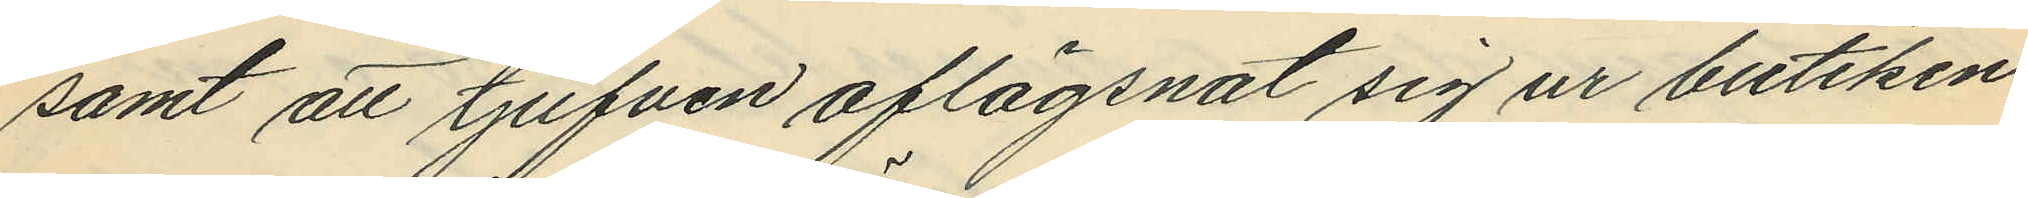samt att tjufven aflägsnat sig ur butiken
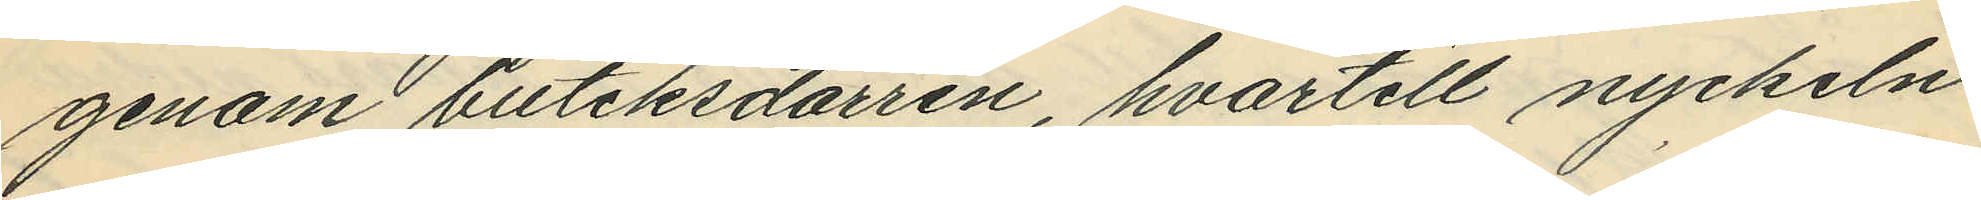genom butiksdörren, hvartill nyckeln
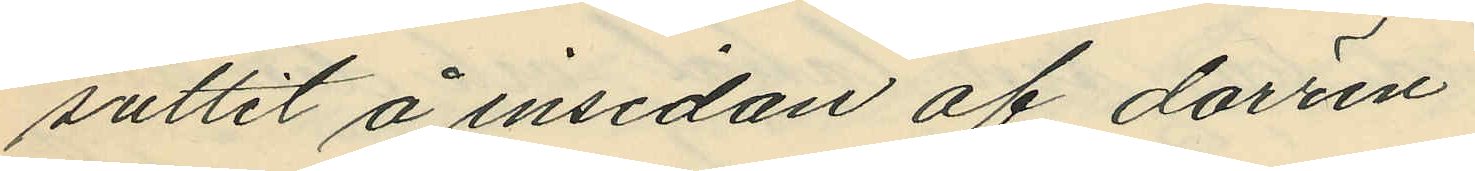suttit å insidan af dörren
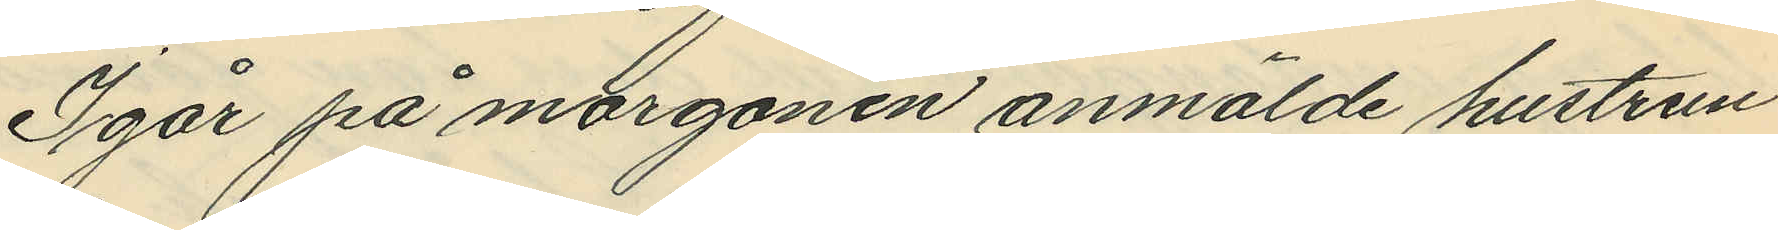Igår på morgonen anmälde hustrun
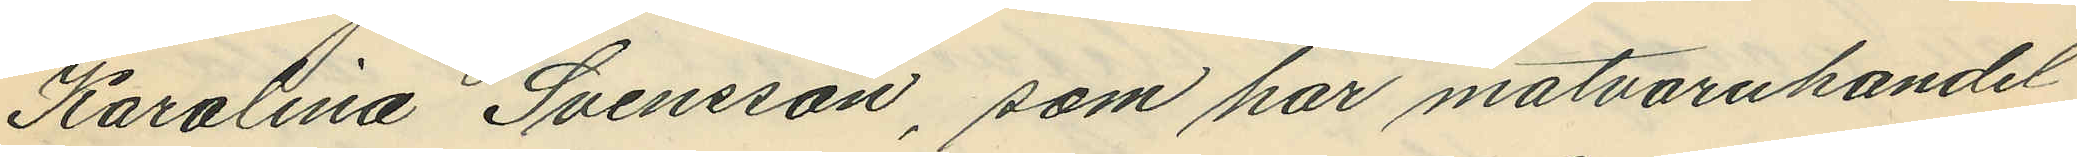Karolina Svensson, som har matvaruhandel
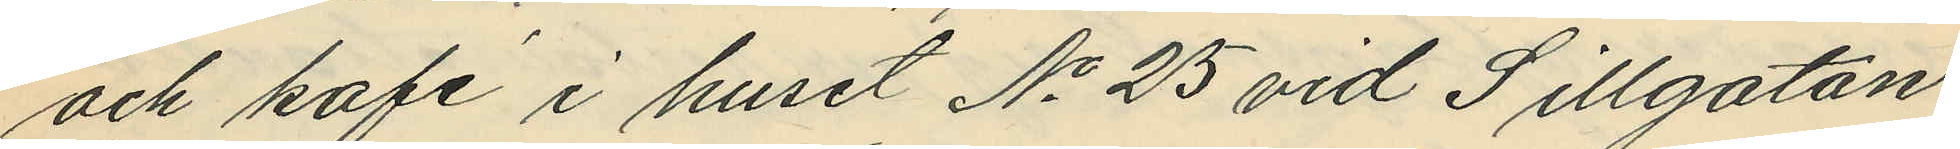och kafé i huset No 25 vid Sillgatan,
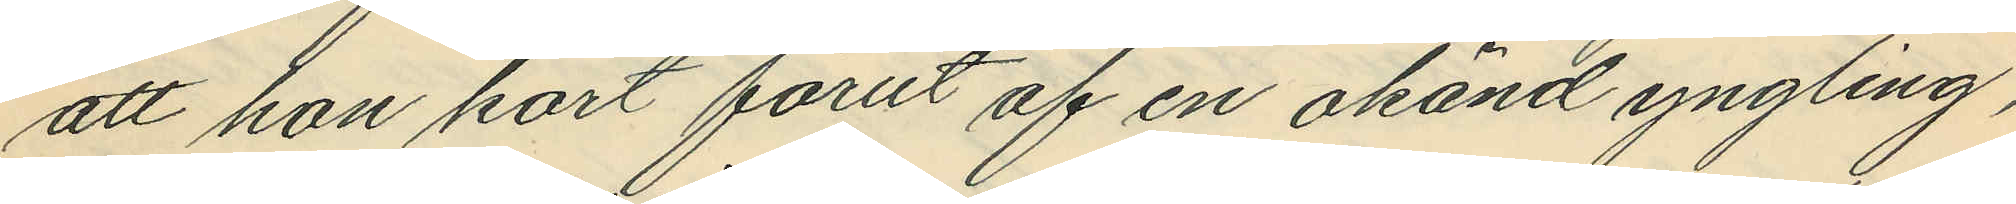att hon kort förut af en okänd yngling,
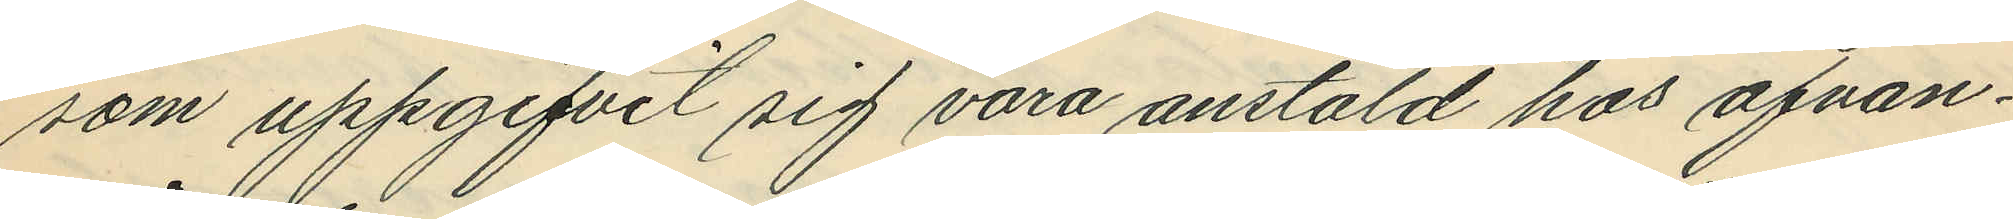som uppgifvit sig vara anstäld hos ofvan¬
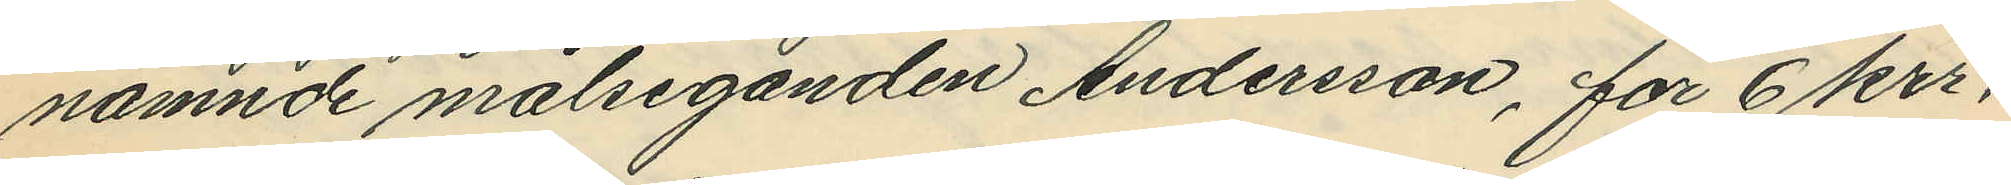nämnde målseganden Andersson, för 6 krr.
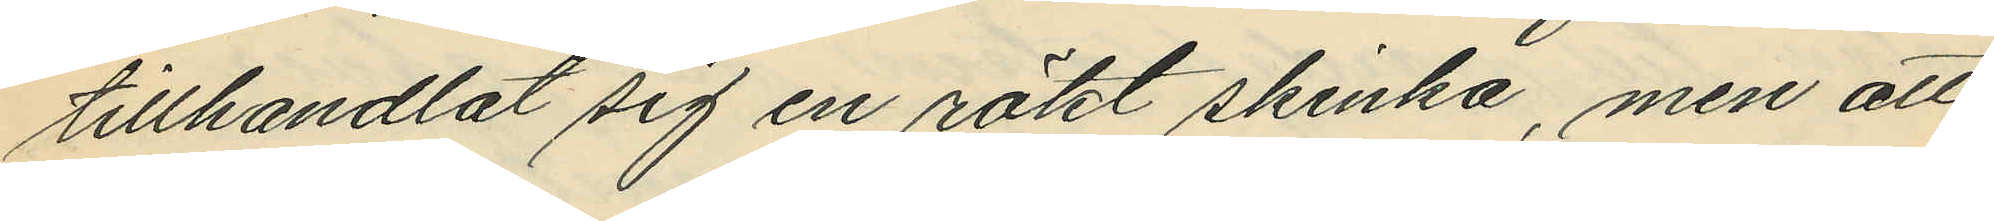tillhandlat sig en rökt skinka, men att
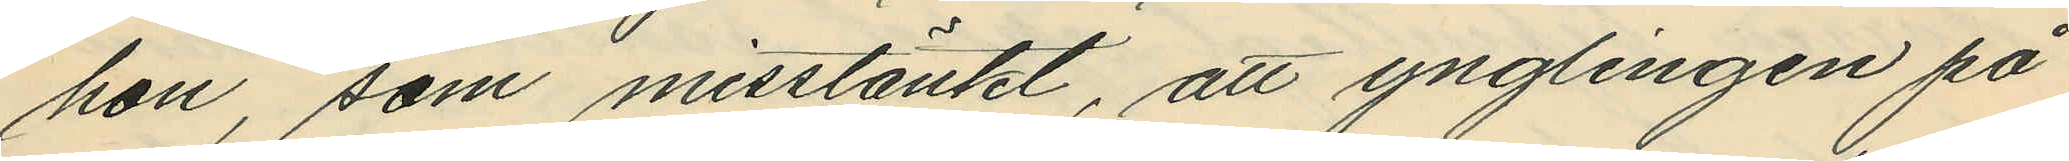hon, som misstänkt, att ynglingen på
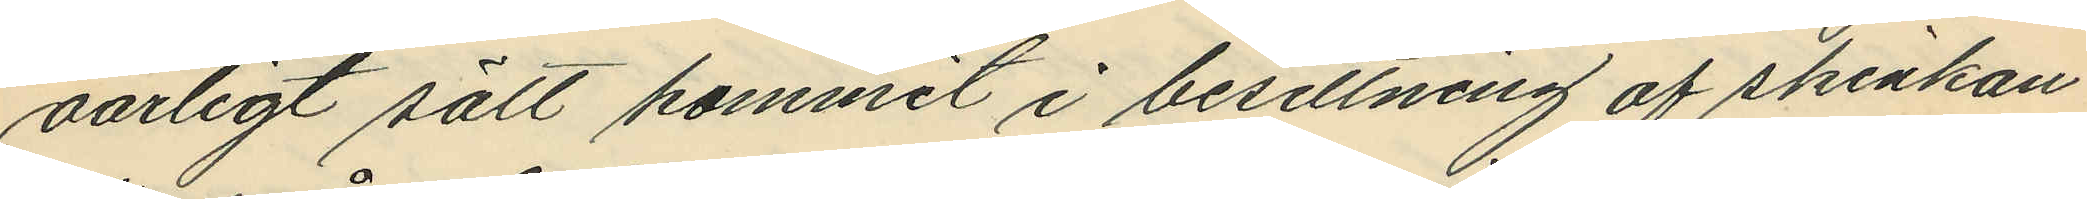oärligt sätt kommit i besittning af skinkan
